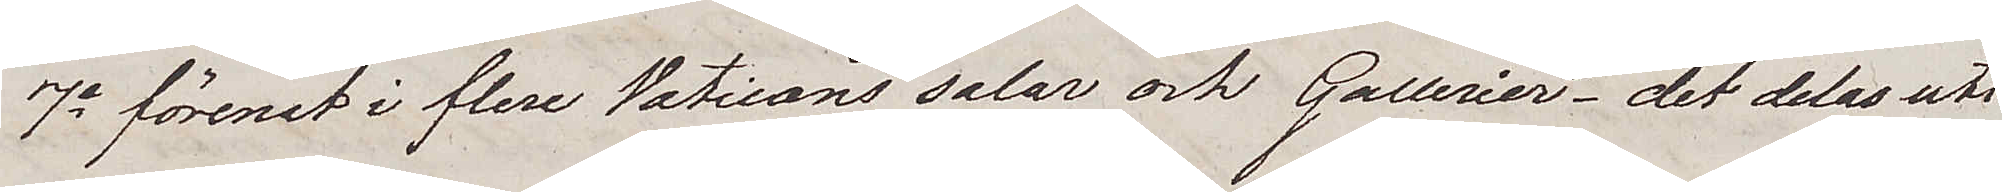7e förenat i flere Vaticans salar och Gallerier – det delas uti
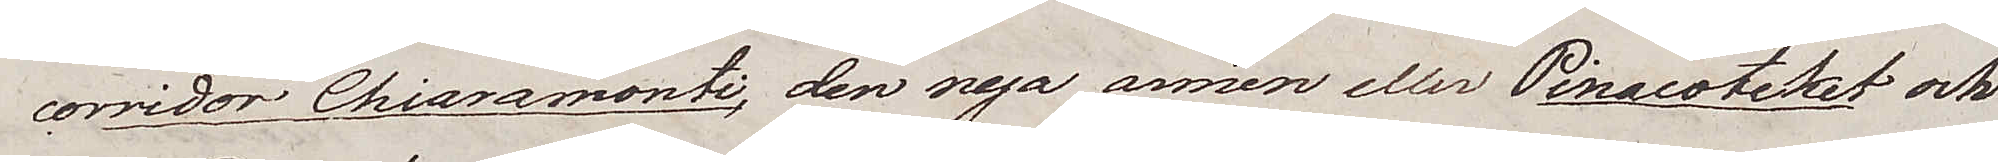coridor Chiaramonti, den nya armen eller Pinacoteket och
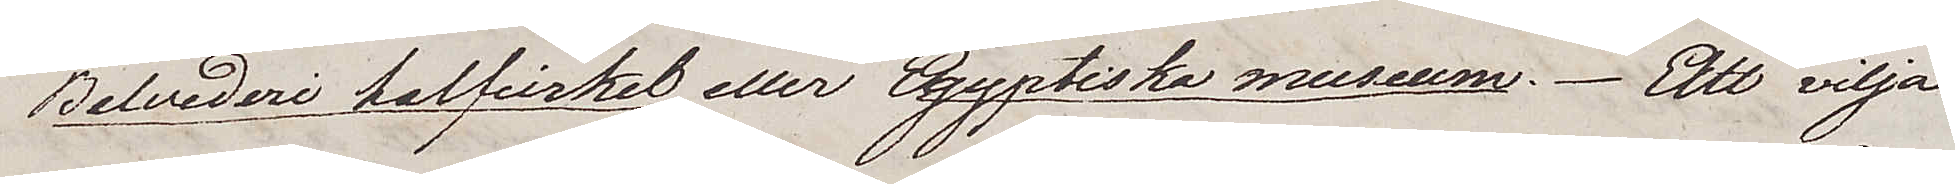Belvederi halfcirkel eller Egyptiska museum. Att vilja
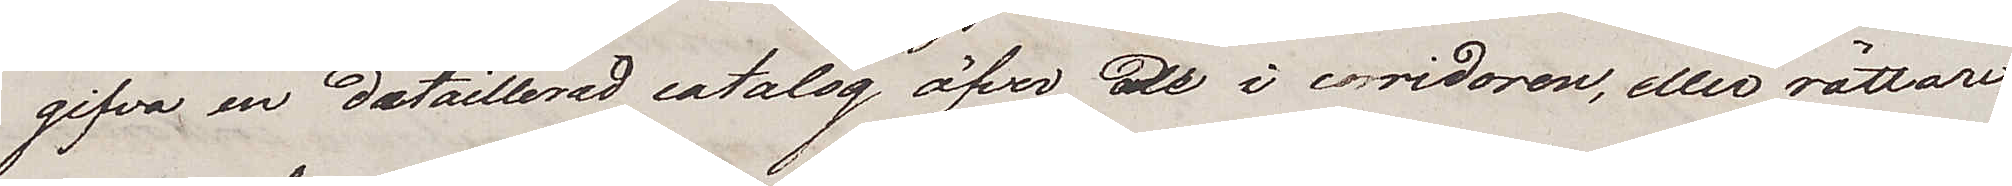gifva en dætaillerad catalog öfver de i corridoren, eller rättare
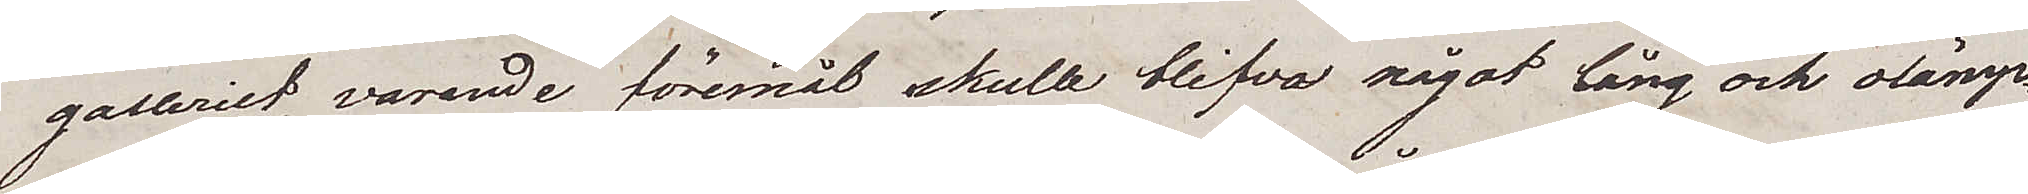galleriet, varande föremål skulle blifva något lång och olämp¬
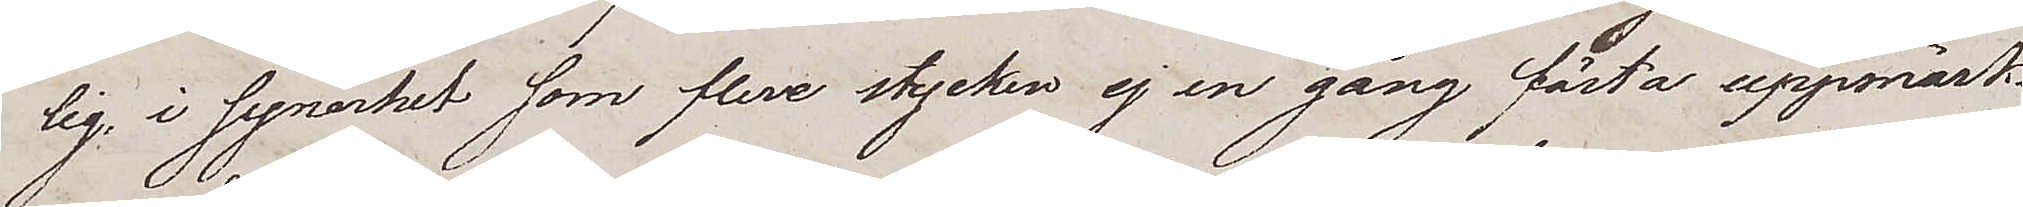lig, i synerhet som flere stycken ej en gång fåsta uppmärk¬
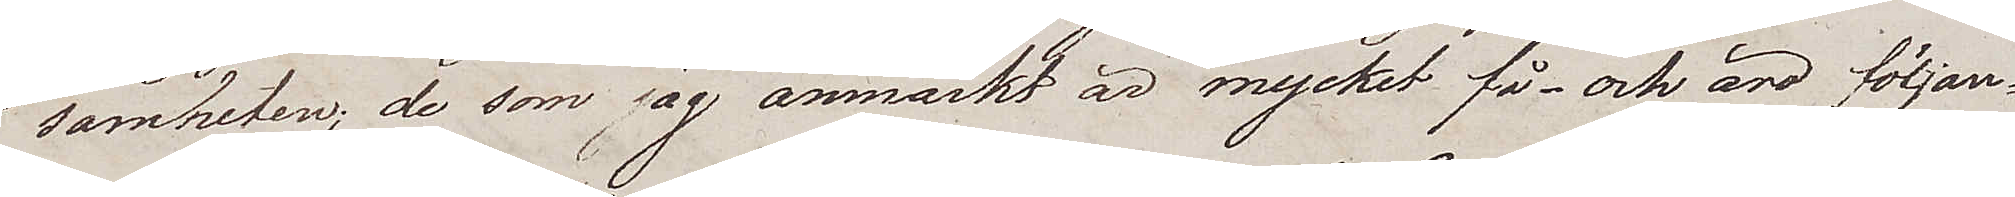samheten; de som jag anmärkt är mycket få – och äro följan¬
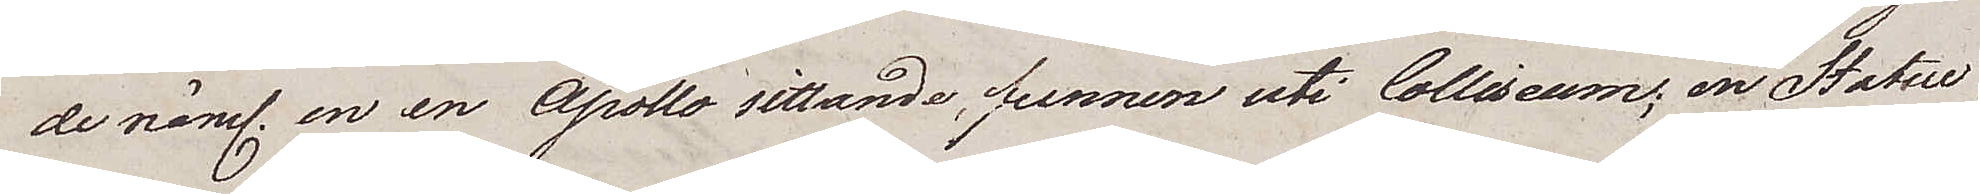de näml. en en Apollo sittande, funnen uti Colliseum; en Statue
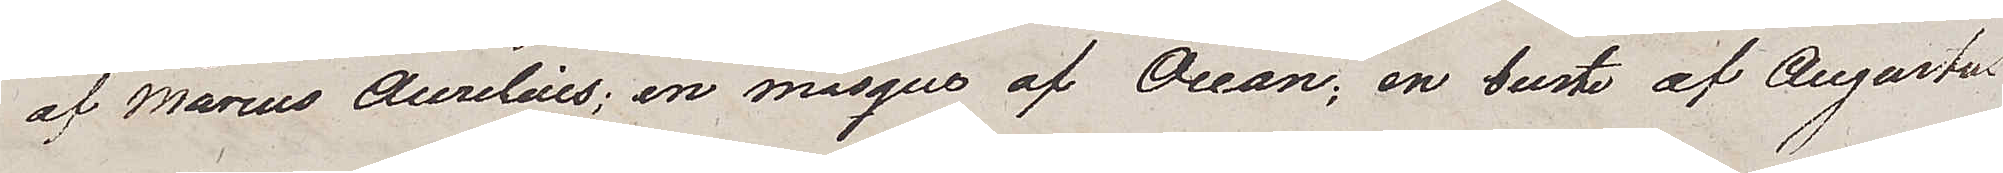af Marcus Aurelius; en masque af Ocean; en buste af Augustus
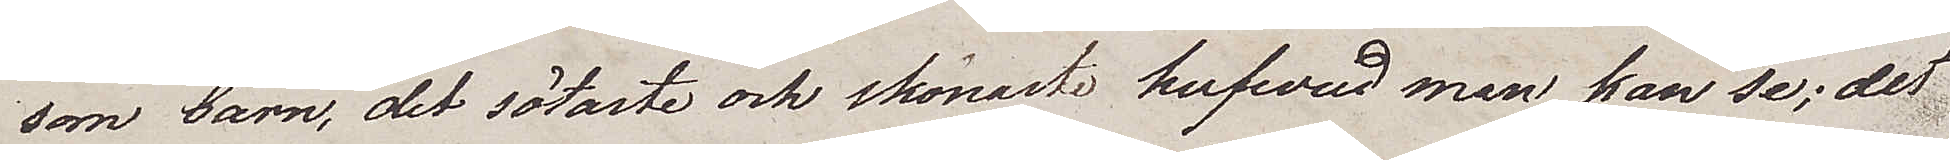som barn, det sötaste och skönaste hufvud man kan se; det
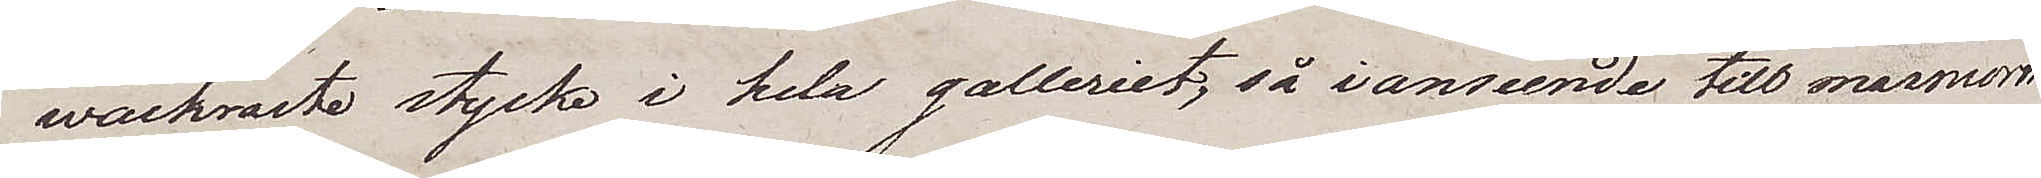wackraste stycke i hela galleriet, så i anseende till marmorn
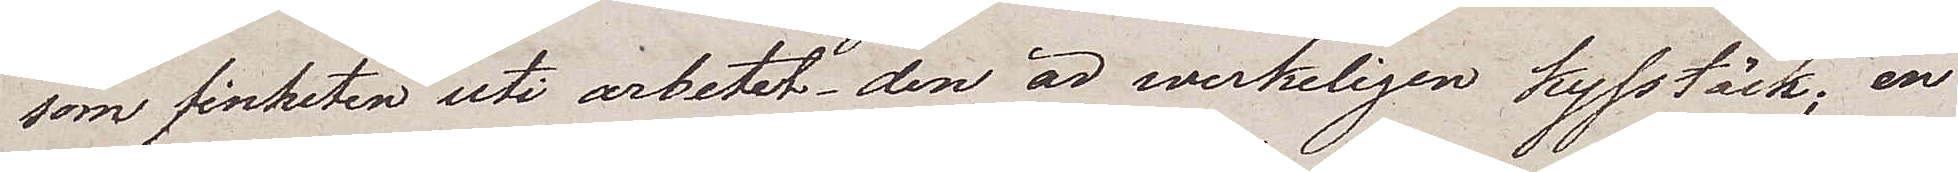som finheten uti arbetet – den är werkeligen kysstäck; en
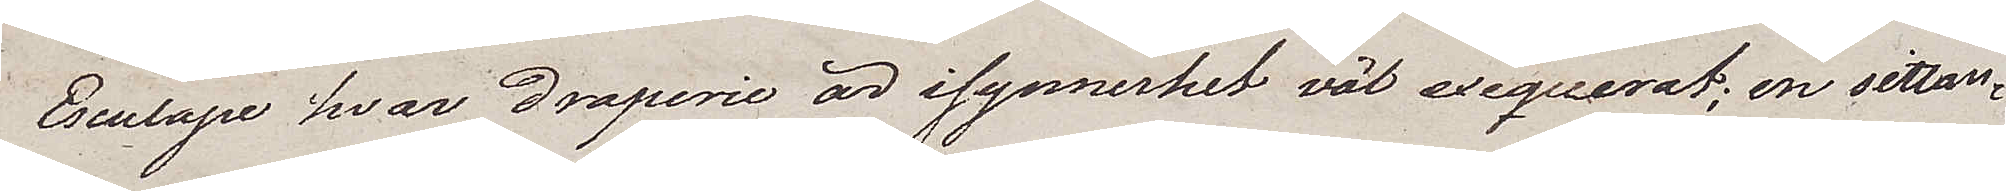Esculape hvar draperie är isynnerhet väl exequerat; en sittan¬
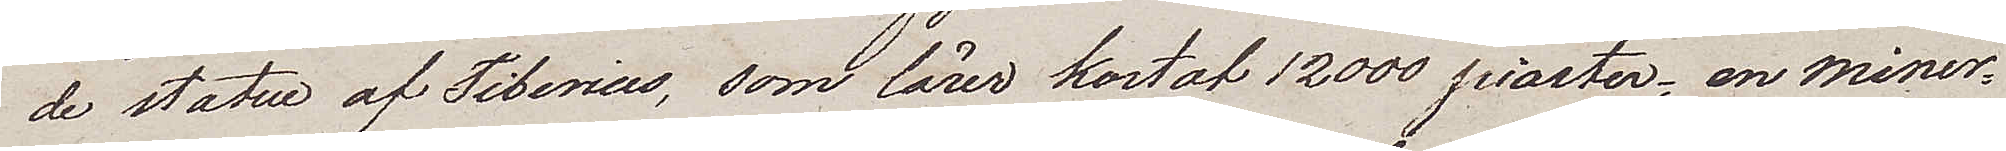de statue af Tiberius, som lärer kostat 12000 piaster; en Miner¬
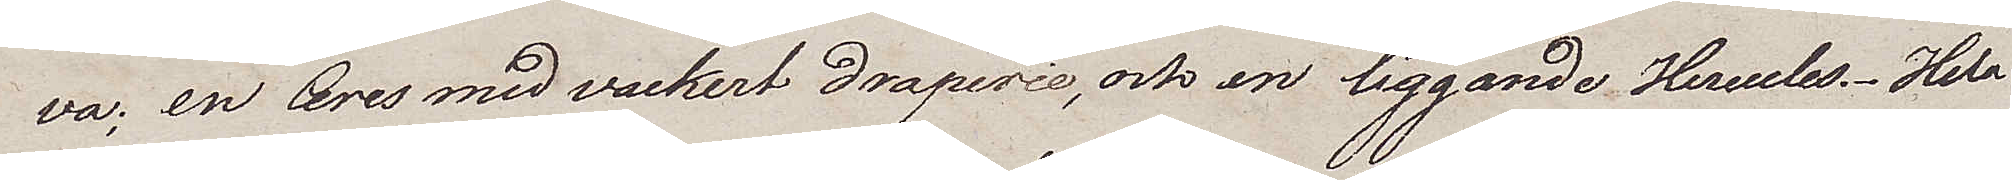va; en Ceres med vackert draperie, och en liggande Hercules. Hela
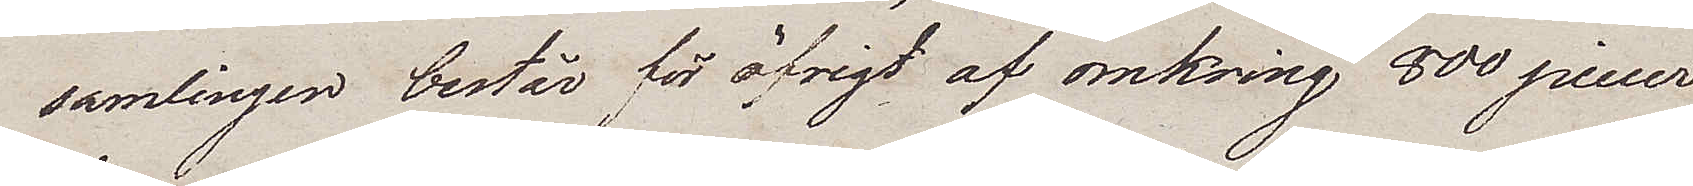samlingen består för öfrigt af omkring 800 piecer.
